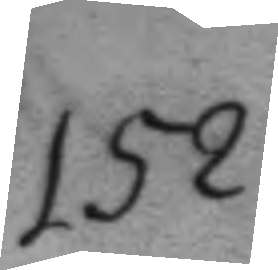152.
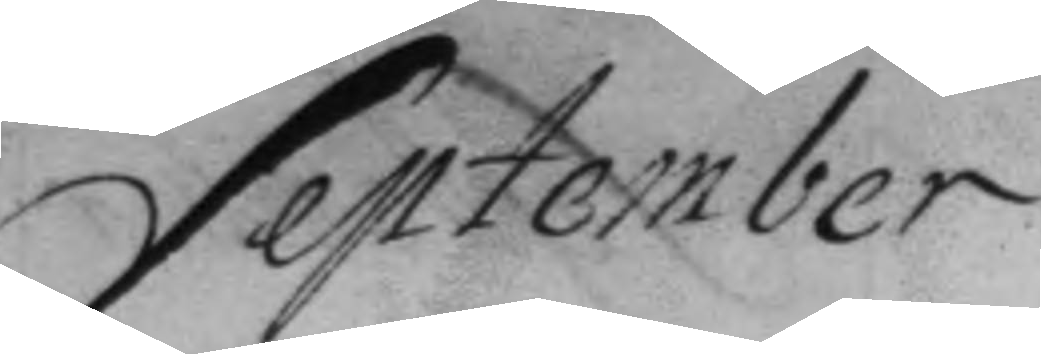September
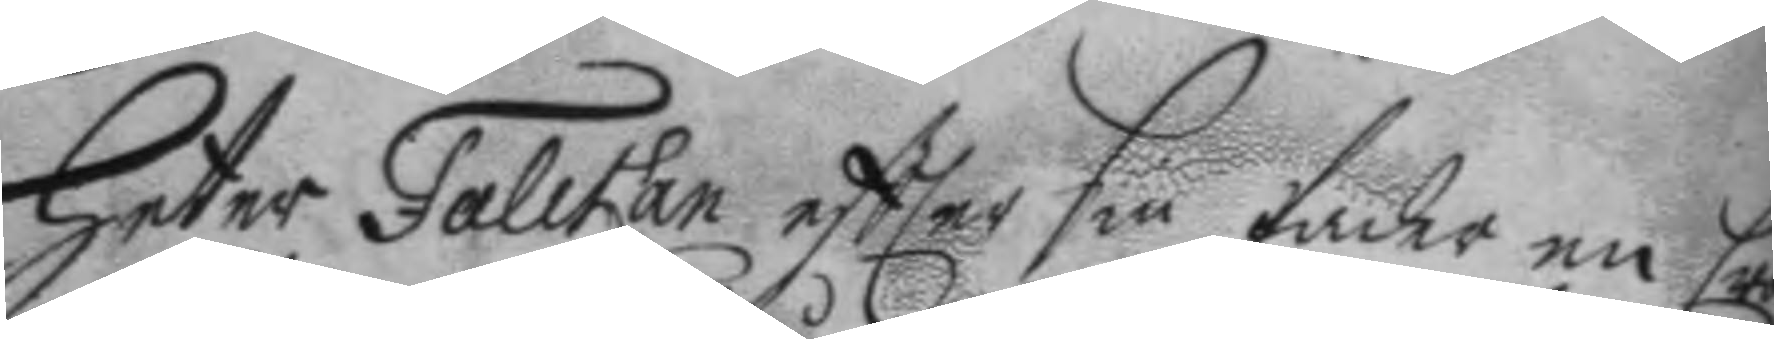heter Fallfan eftter sin fader en Cron¬
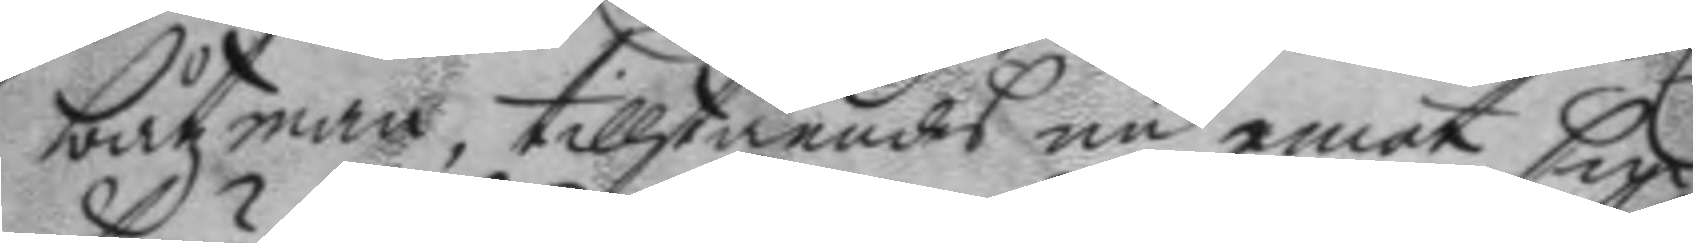båtzman, tillståendes nu emot sin
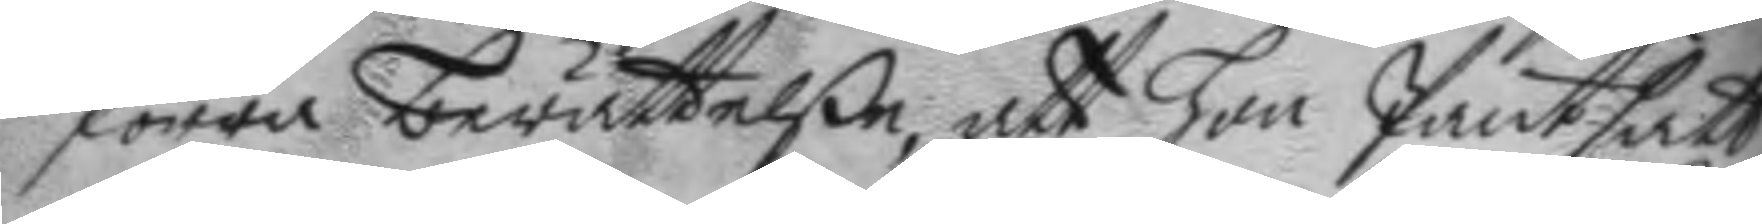förra berättelße, att hon Pantsatt
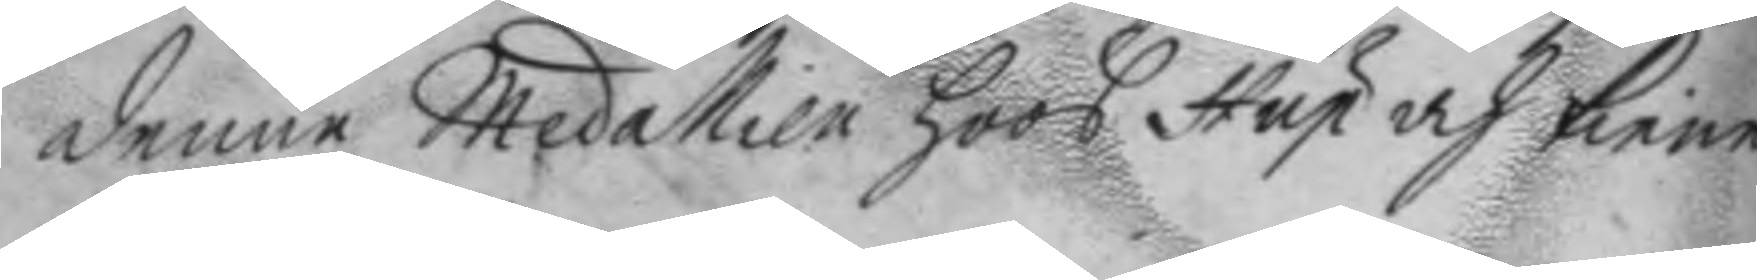denne Medallien hoos Hup och tienere
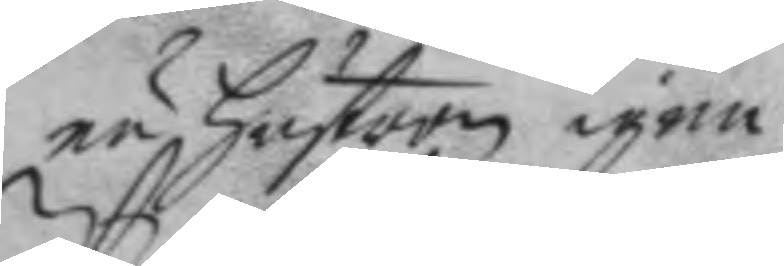nu hustron igen.
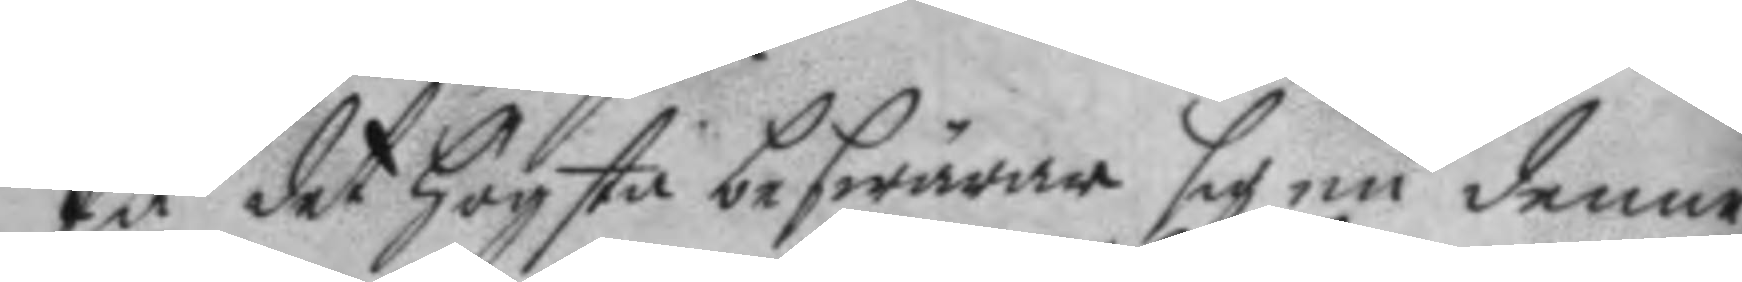På det högsta bewärar sig nu denne
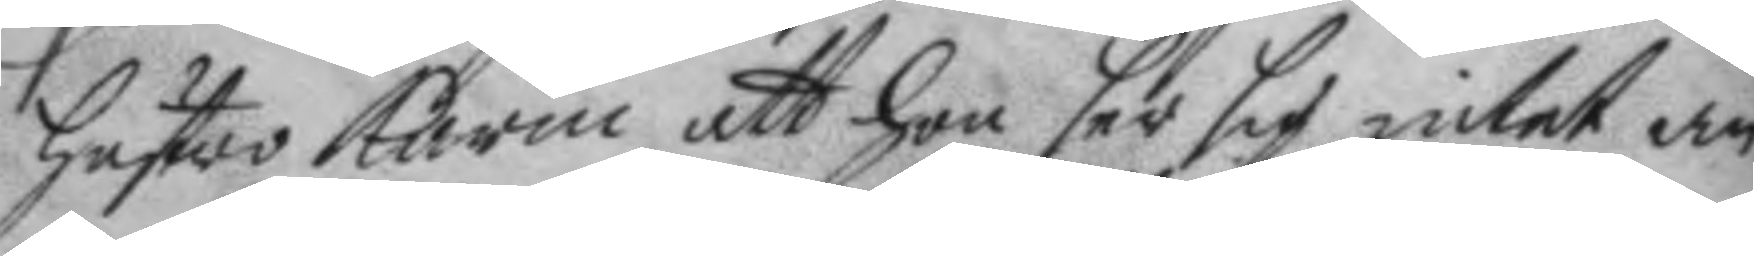hustro Karin att hon ser sig intet an¬
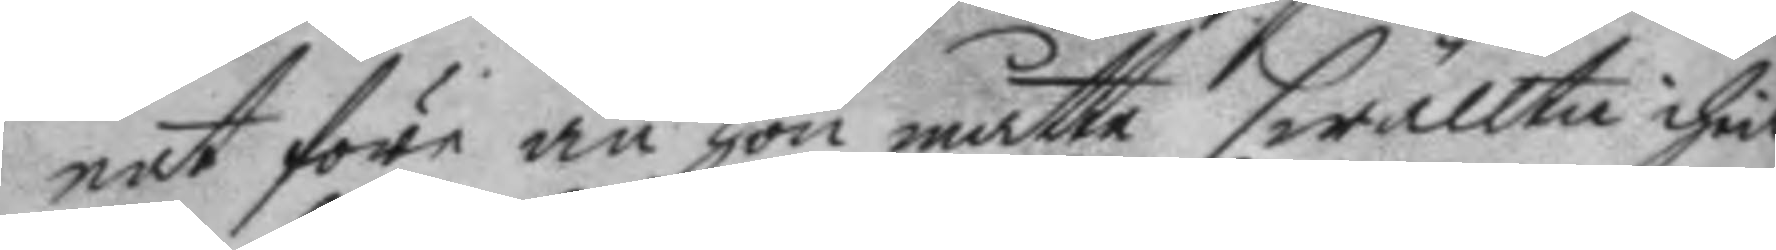nat före än hon måtte swällta ihiäl
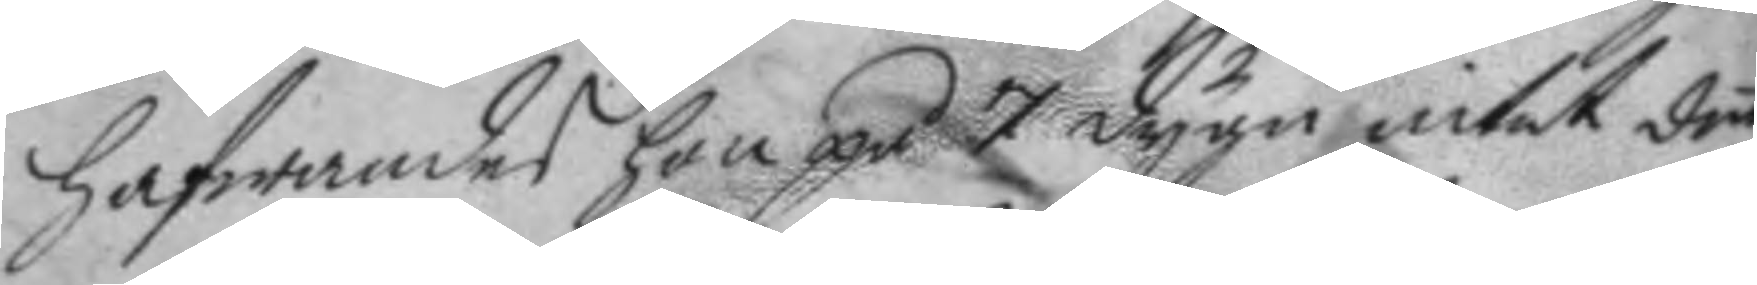hafwandes hon på 7 dygn intet det
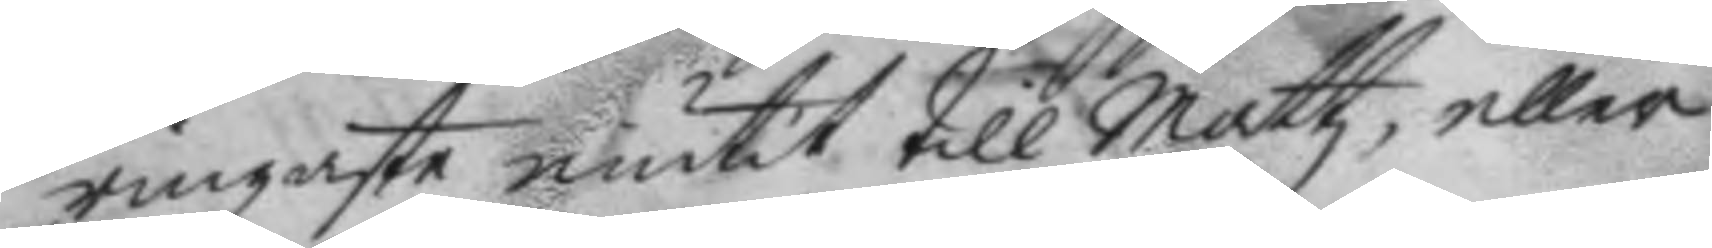ringaste niutit till Mattz, eller
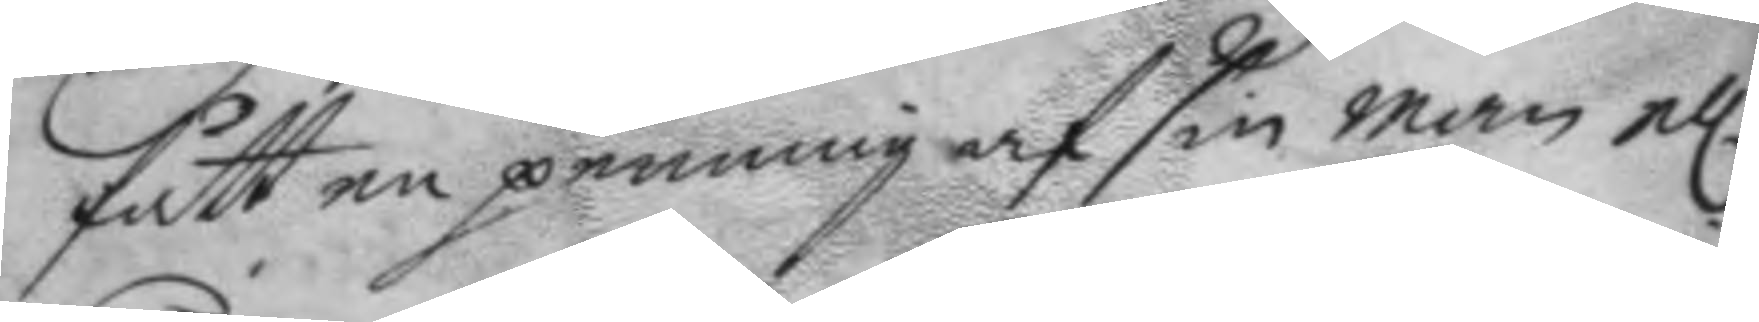fått en penning af sin man el.r
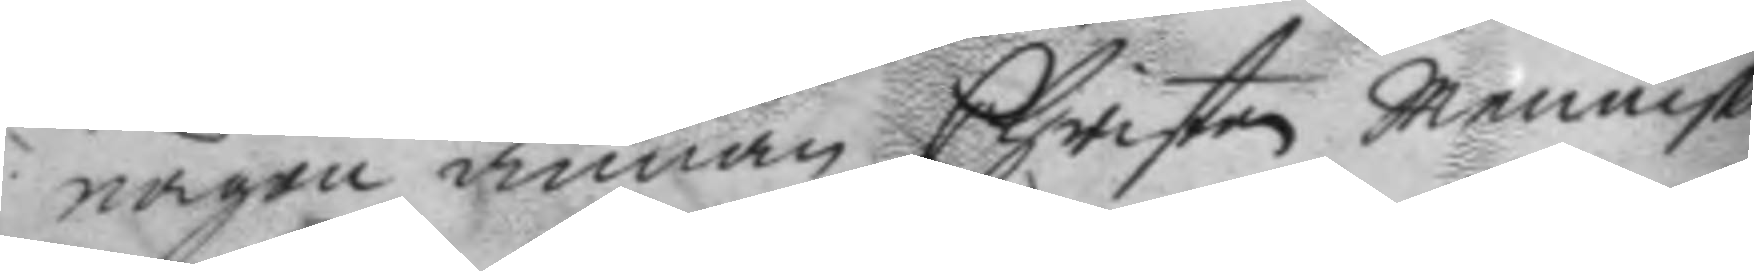någon annan Christen menniska
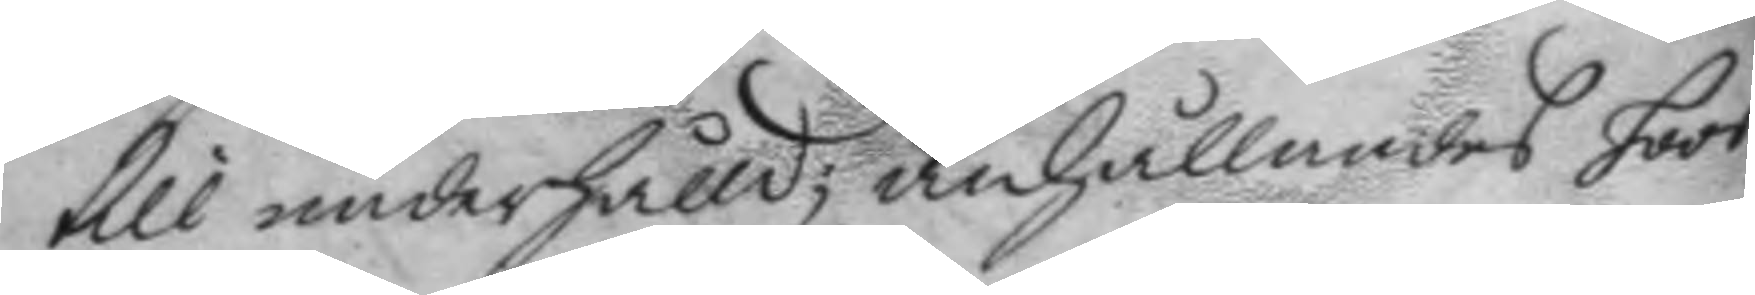till underhålls; anhållandes hoos
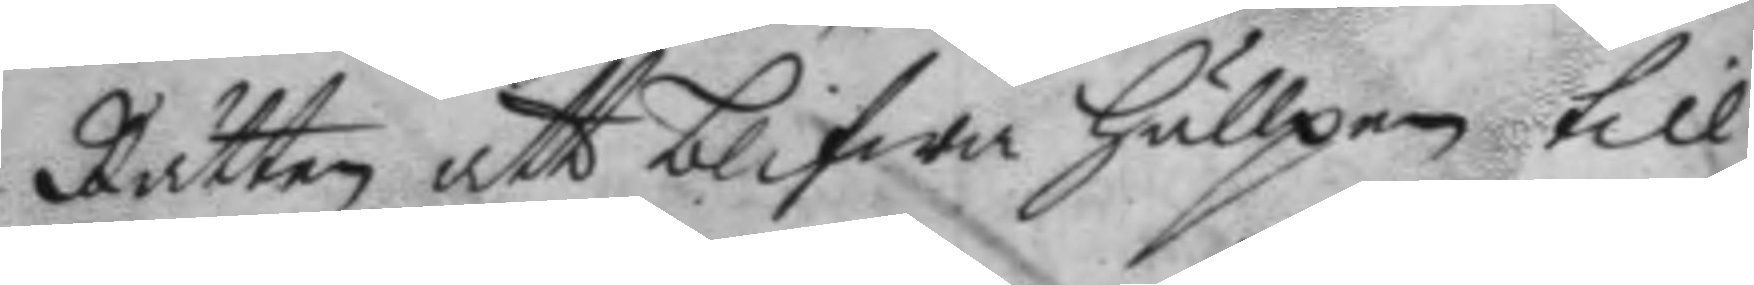Rätten att blifwa hullpen till
